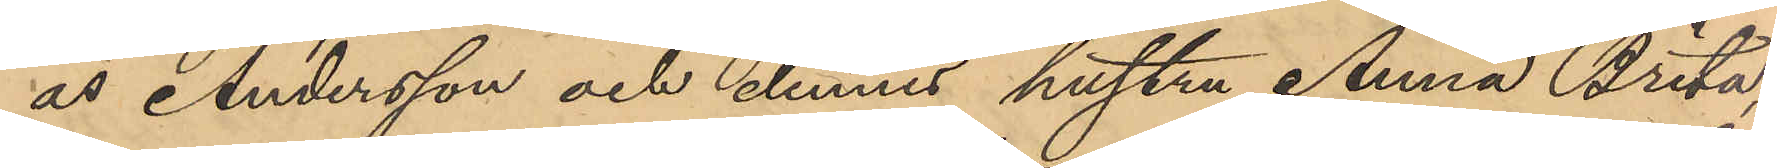as Andersson och dennes hustru Anna Brita,
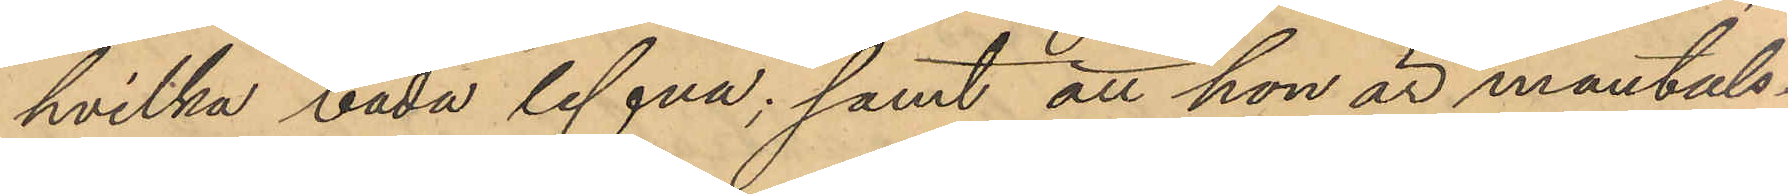hvilka båda lefva; samt att hon är mantals- 
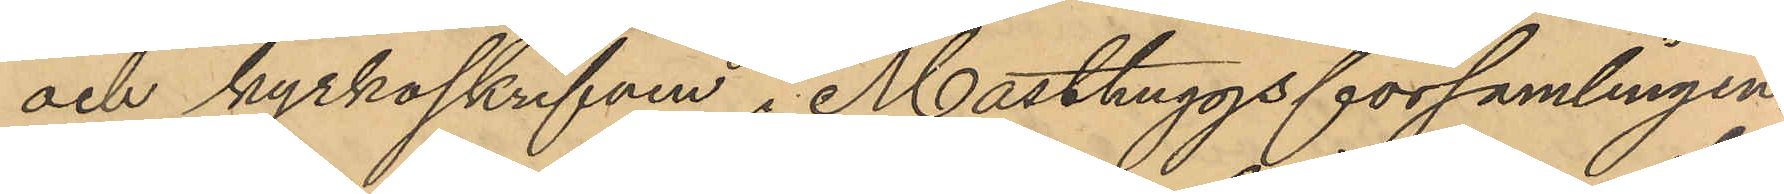och kyrkoskrifven i Masthuggsförsamlingen.
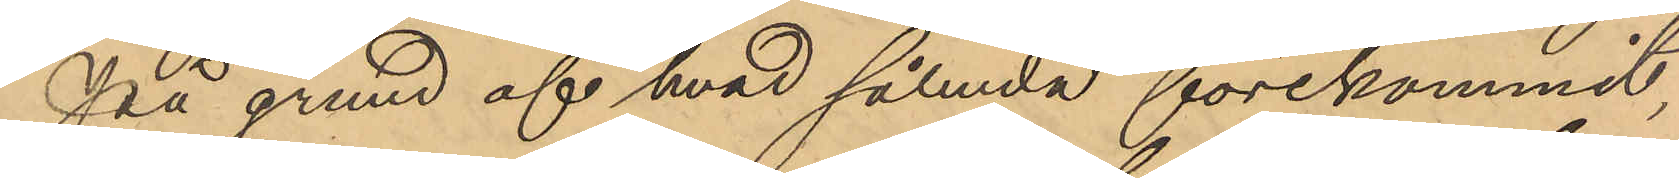På grund af hvad såluda förekommit,
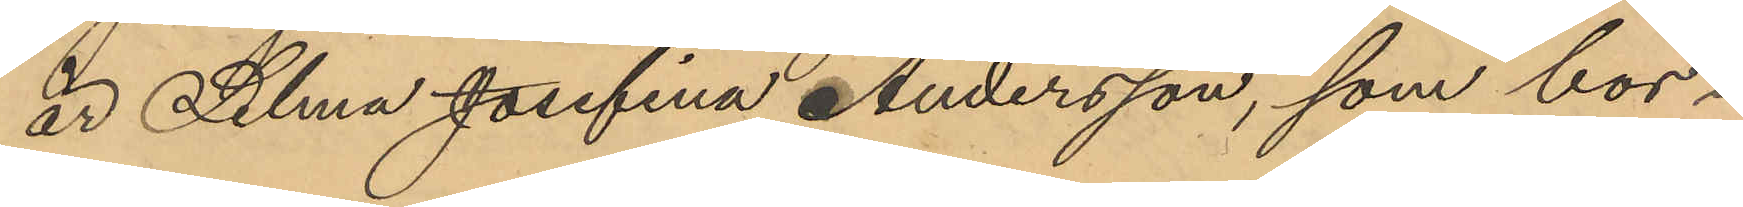är Selma Josefina Andersson, som bor
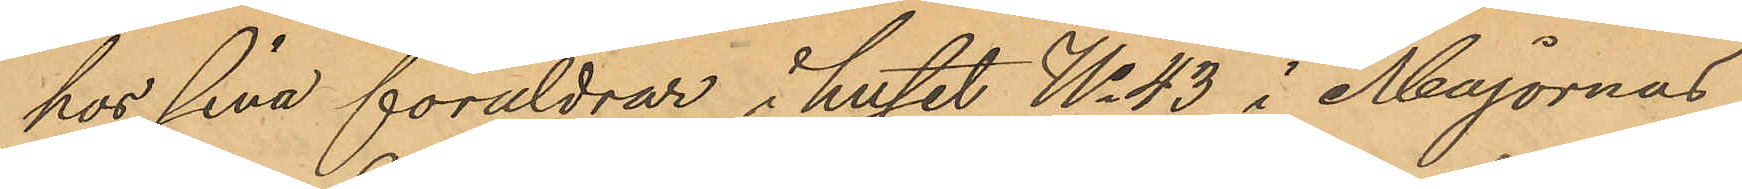hos sina föräldrar i huset No 43 i Majornas
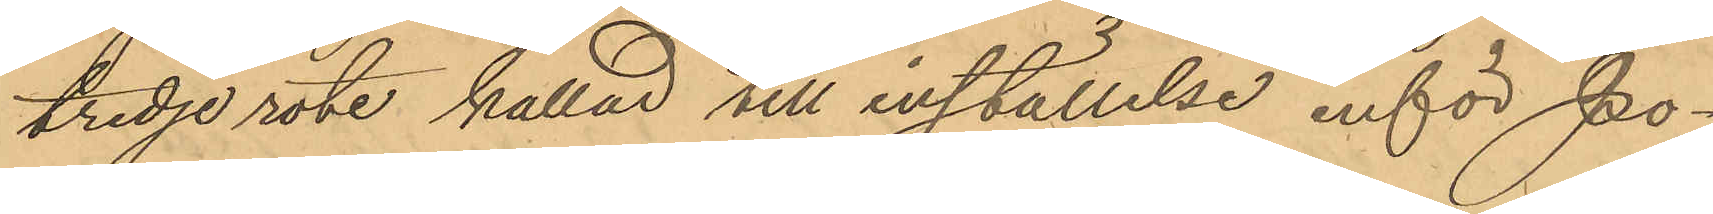tredje rote kallad till inställelse inför Po¬
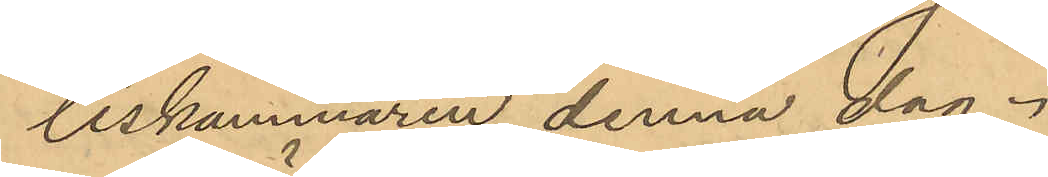liskammaren denna dag.
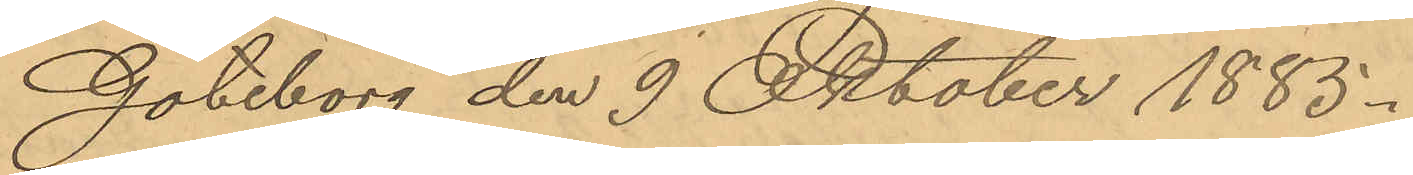Göteborg den 9 Oktober 1885.
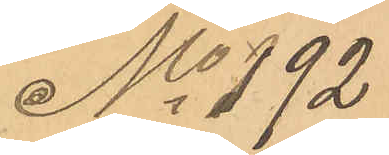No 192
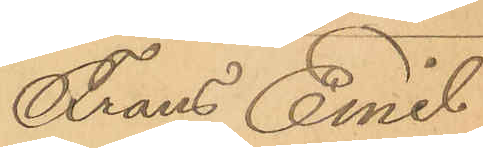Frans Emil
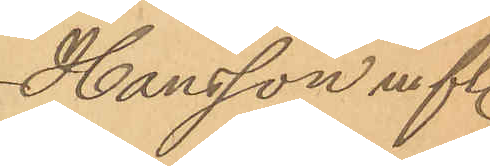Hansson m fl.
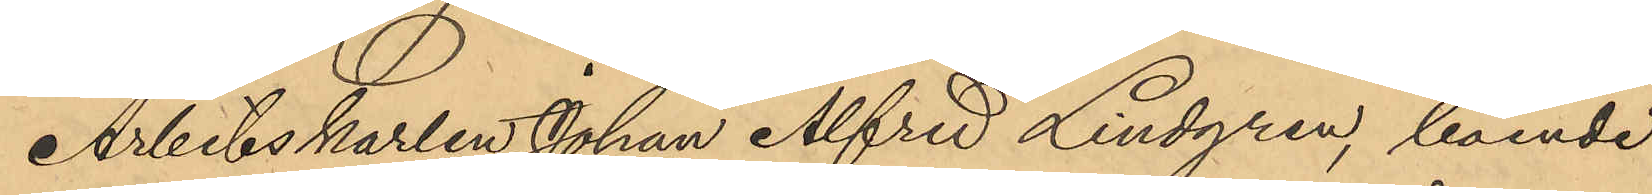Arbetskarlen Johan Alfred Lindgren, boende
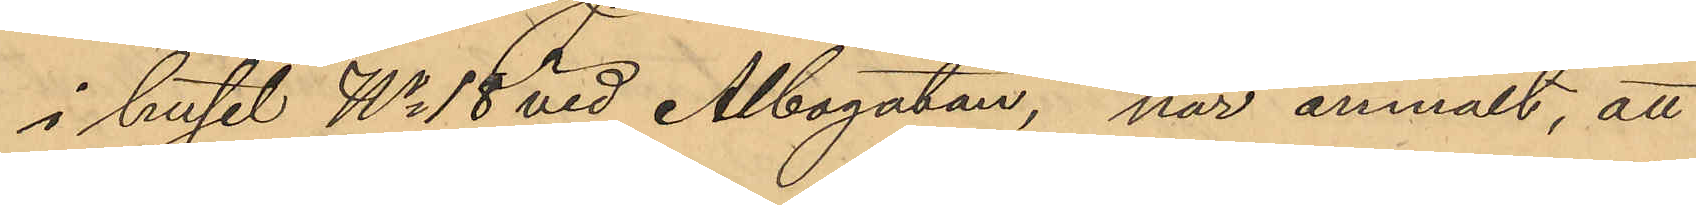i huset No 18 vid Albogatan, har anmält, att
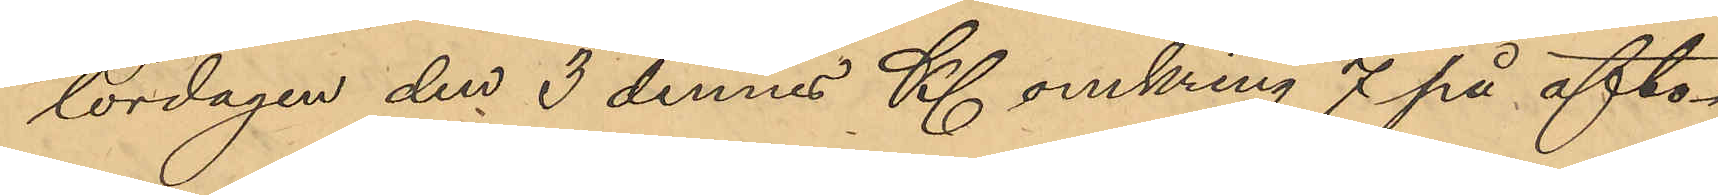lördagen den 3 dennes Kl omkring 7 på afto¬
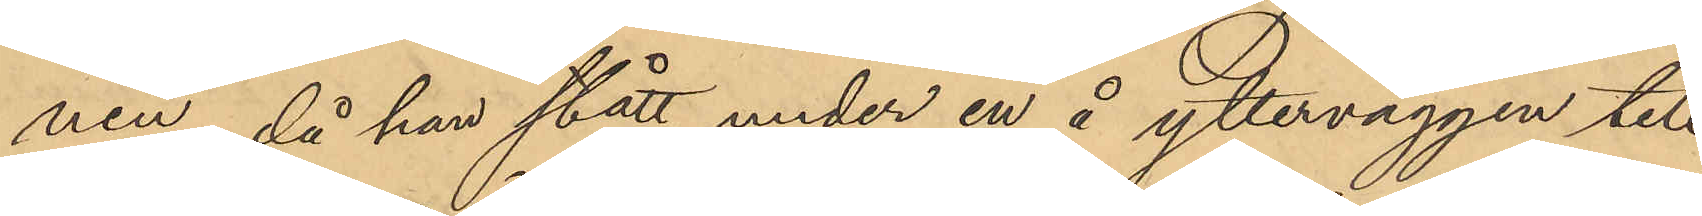nen, då han stått under en å ytterväggen till
